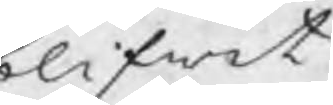blifwit
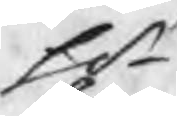Hr
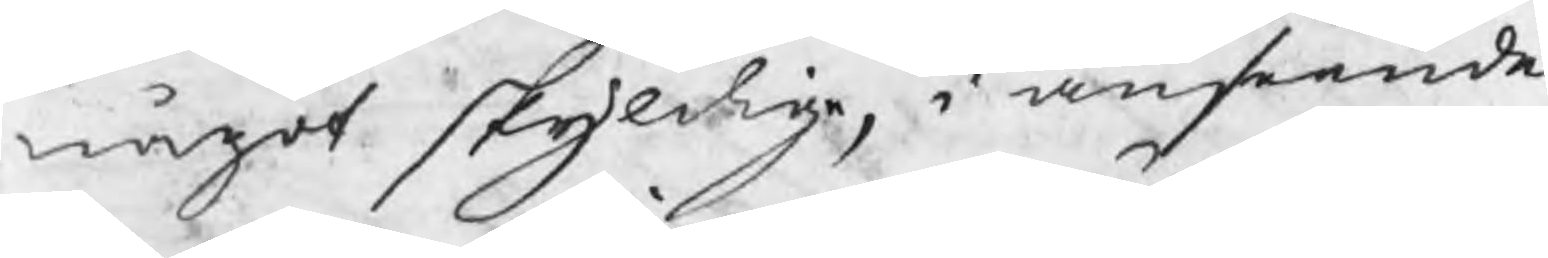något skyldige, i anseende
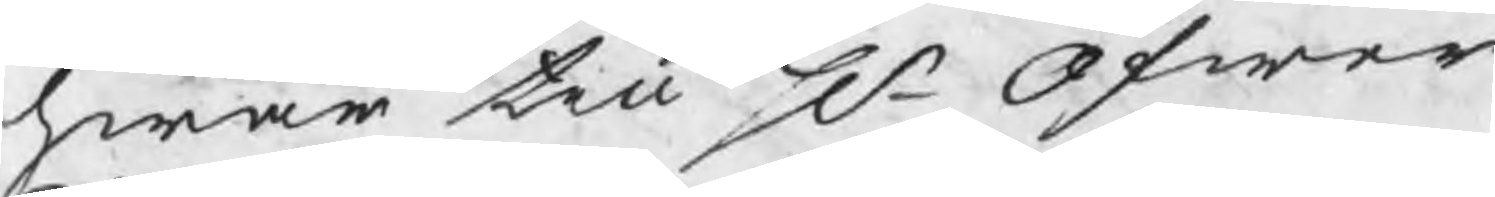hwar till Hr Öfwer
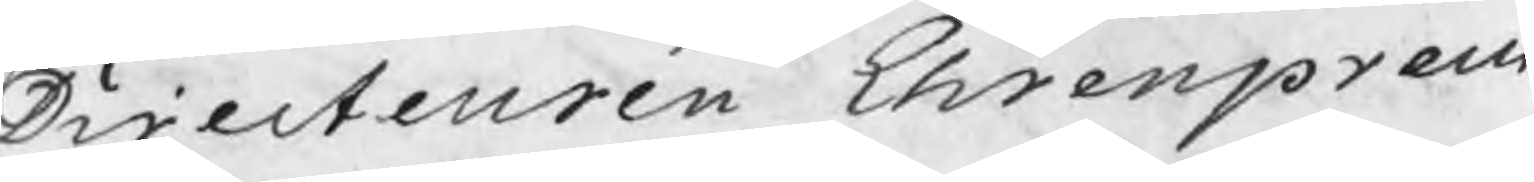Directeuren Ehrenpreus
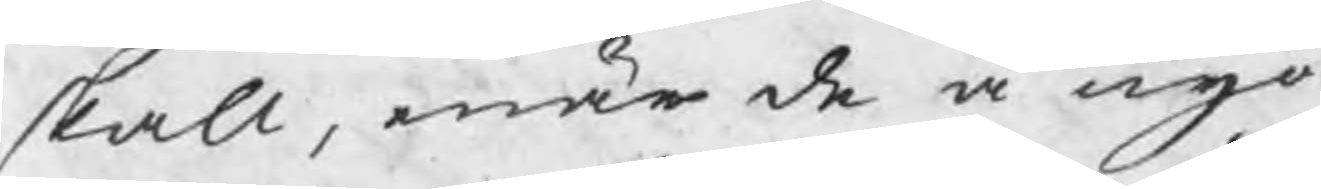skall, enär de å nyo
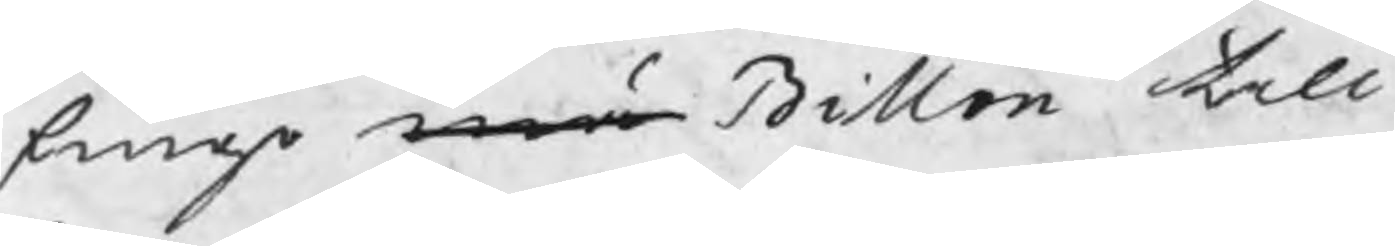finge mä Billon till
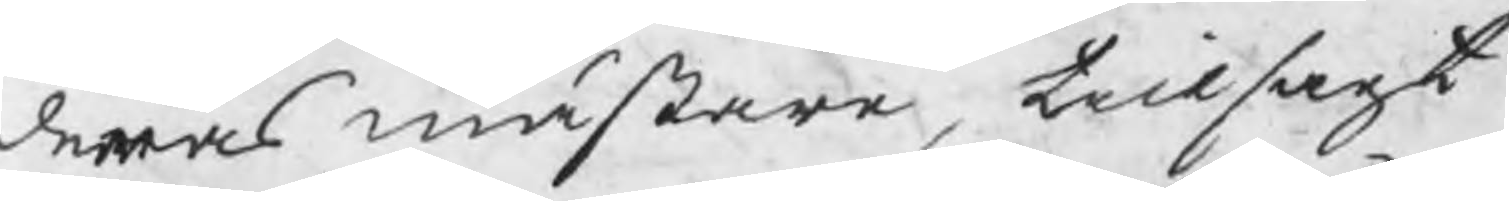deras mästare, tillsagt
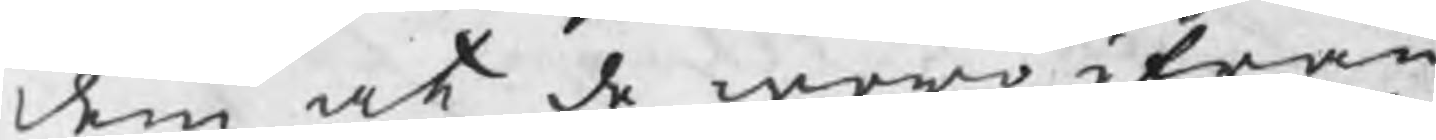dem at de woro ifrån
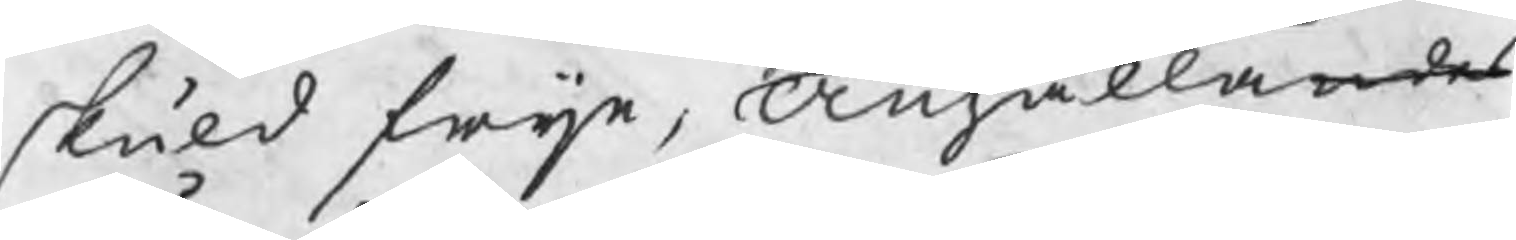skuld frija, Anhållandes
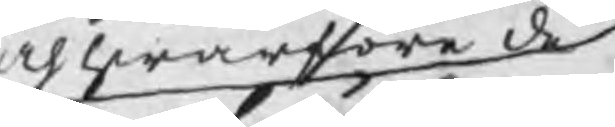och hwarföre de
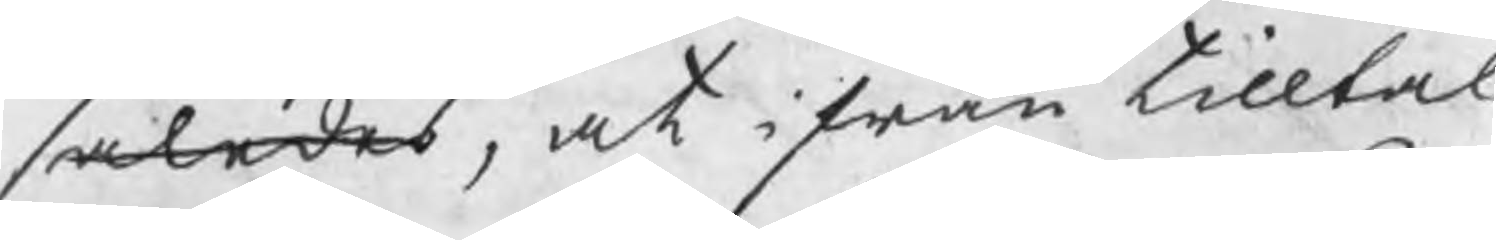således, at ifrån tilltal
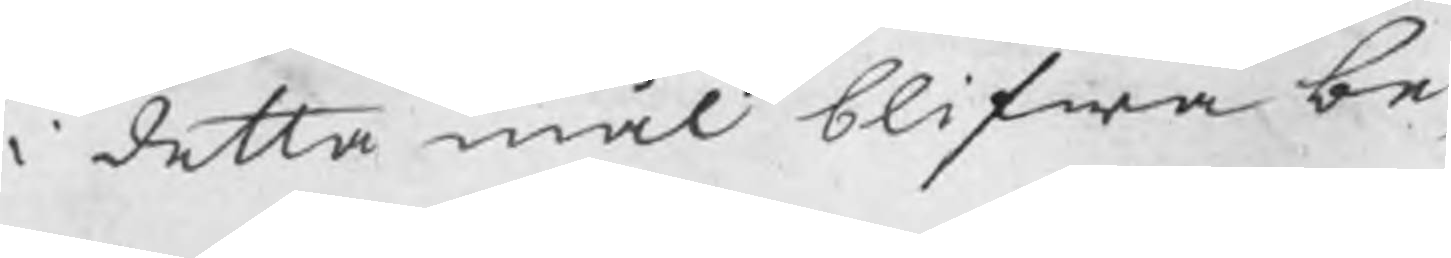i detta mål blifwa be¬
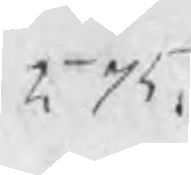575
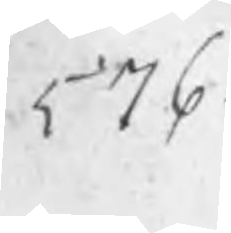576
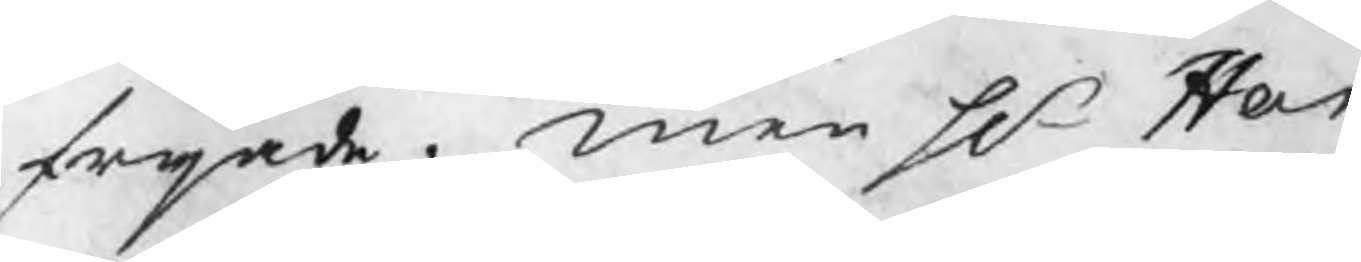frijade. men Hr Har¬
